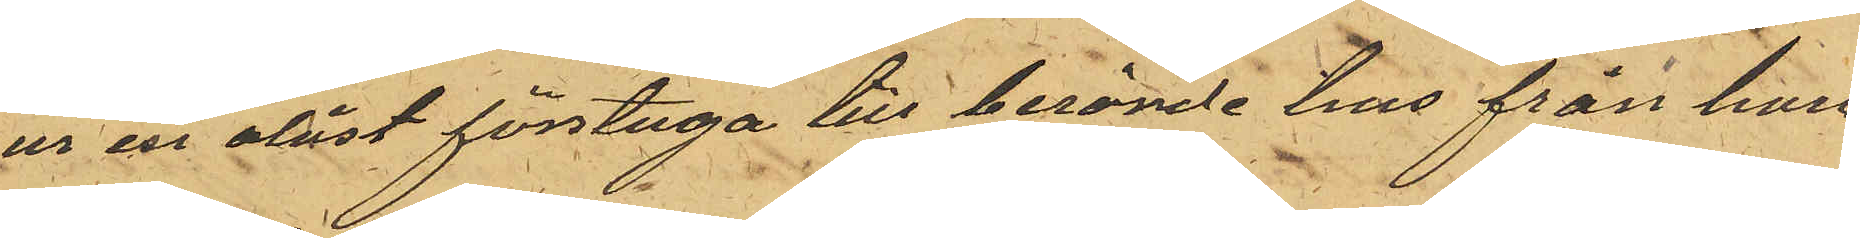ur en olåst förstuga till berörde hus från honom
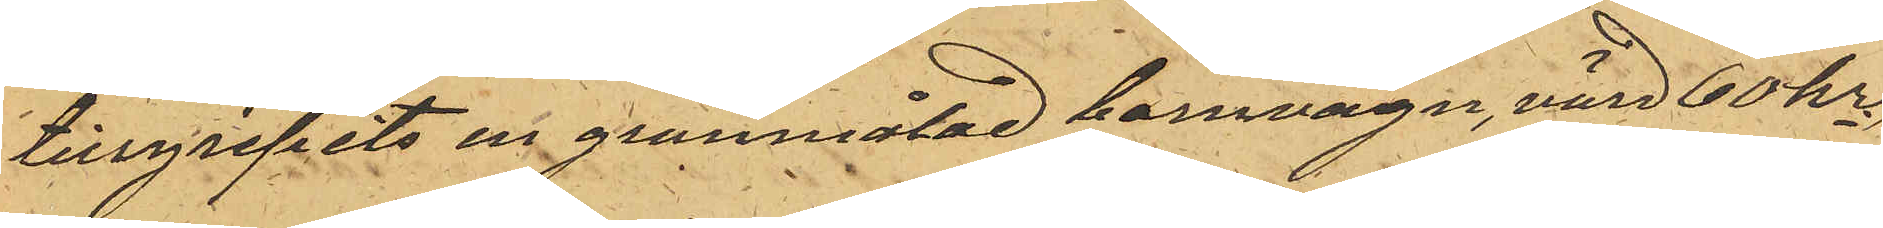tillgripits en grunmålad barnvagn, värd 60 kr;
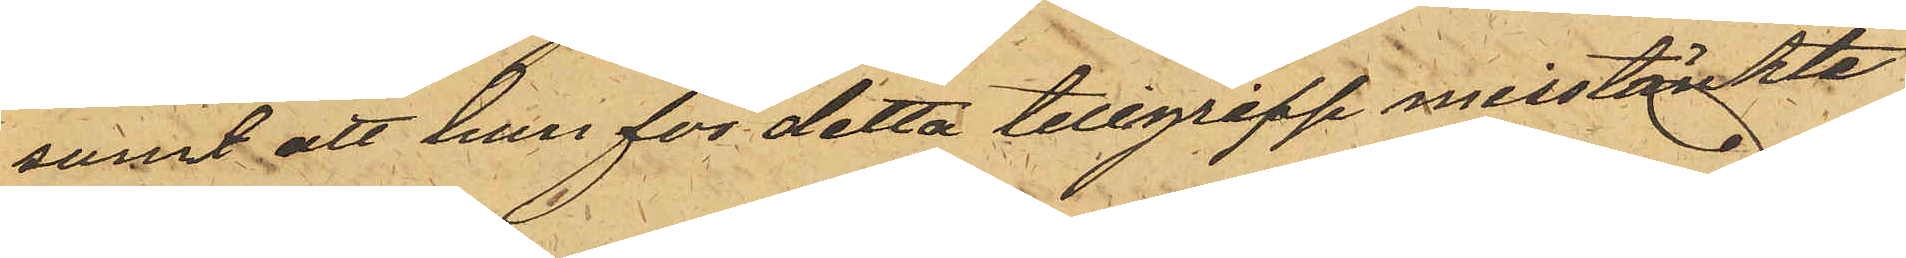samt att han för detta tillgrepp misstänkte
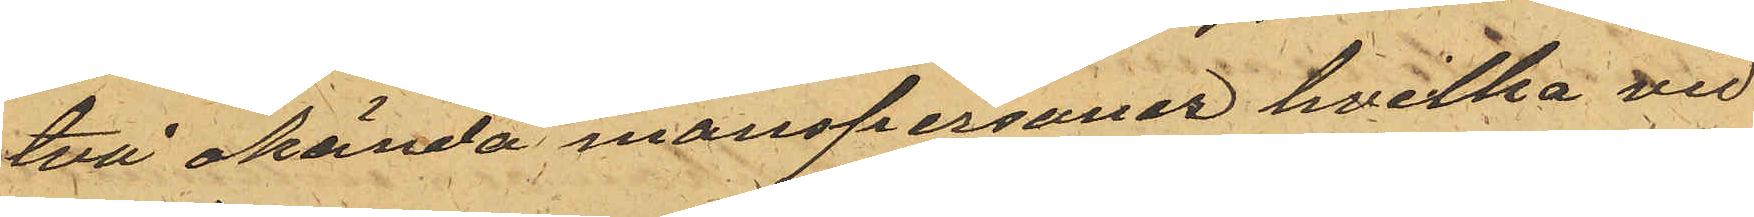två okända manspersoner hvilka vid
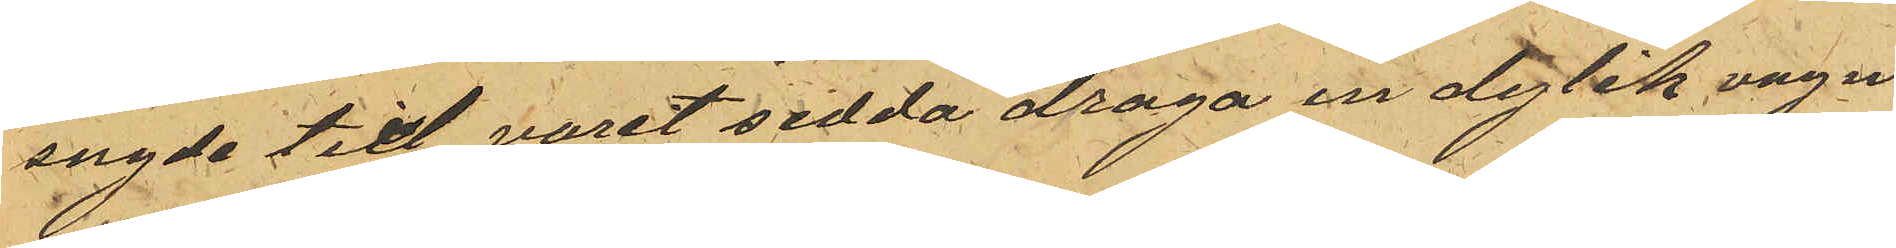sagde tid varit sedda draga en dylik vagn
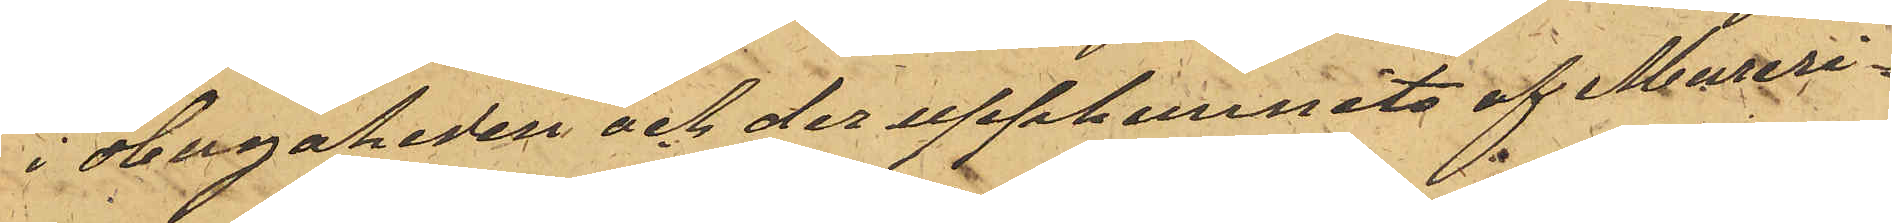i Hagaheden och der upphemnats af Mureri¬
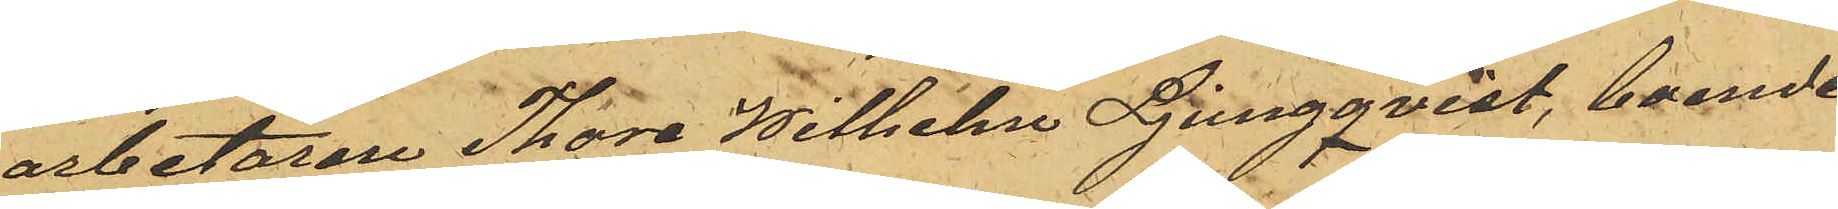arbetaren Thore Wilhelm Ljungqvist, boende
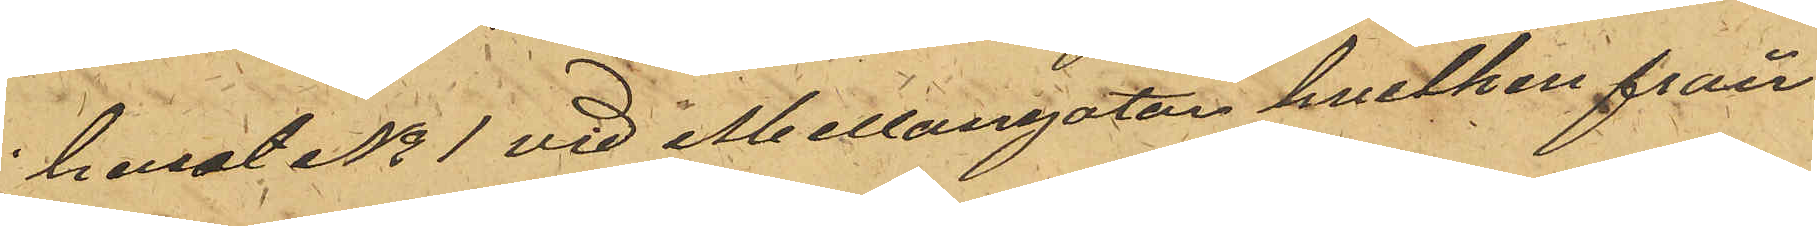huset No 1 vid Mellangatan hvilken från¬
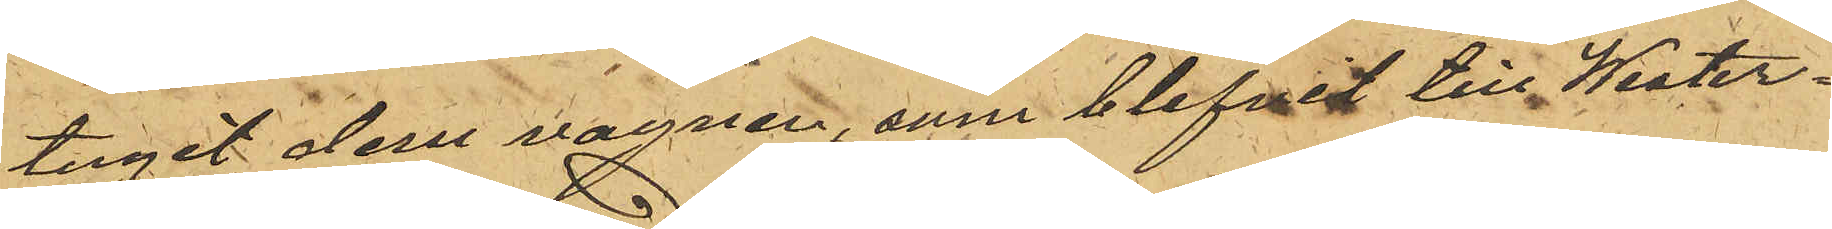tagit dem vagnen, som blifvit till Wester¬
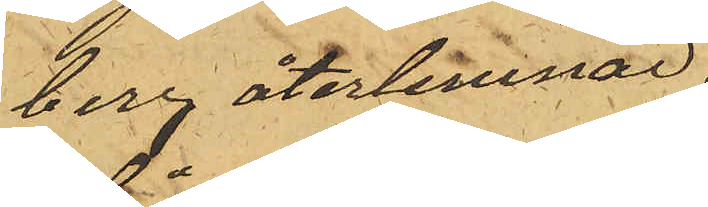berg återlemnad.
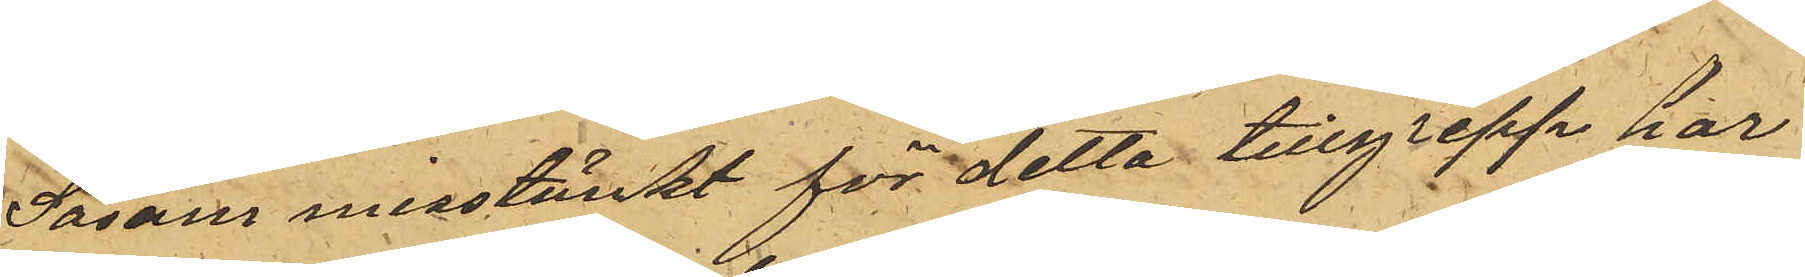Såsom misstänkt för detta tillgrepp har
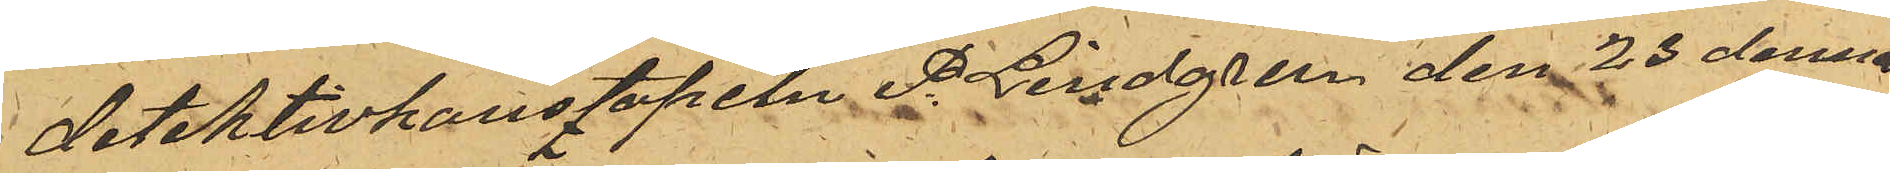detektivkonstapeln P. Lindgren den 23 dennes
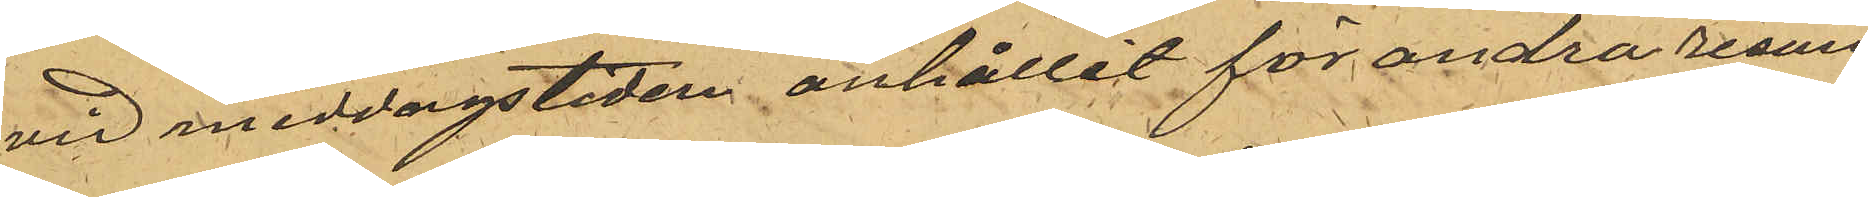vid middagstiden anhållit för andra resan
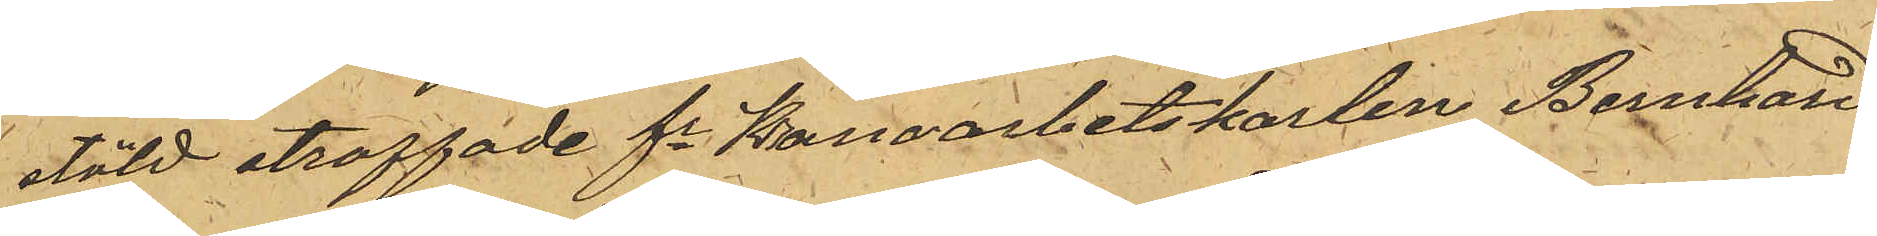stöld straffade fe Kronoarbetskarlen Bernhard
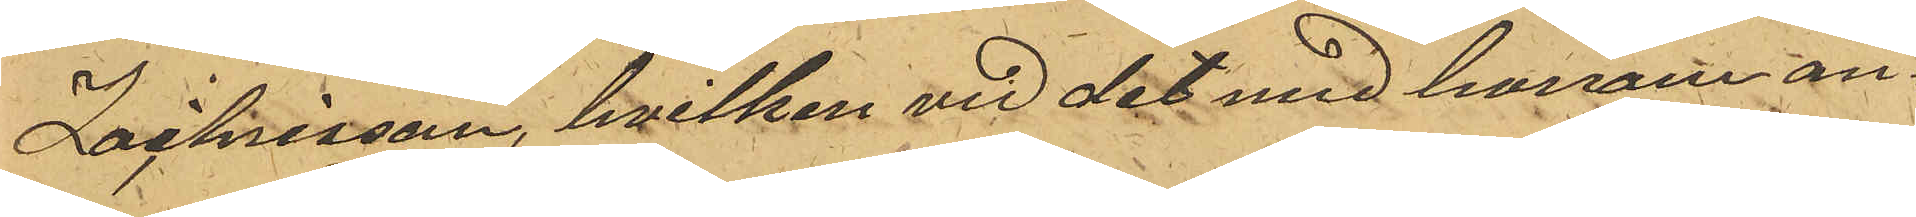Zachrisson, hvilken vid det med honom an¬
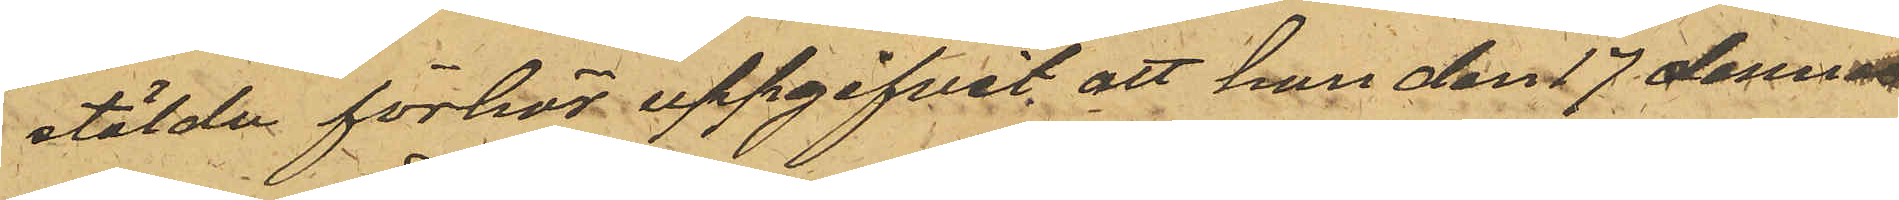stälde förhör uppgifvit att han den 17 dennes
